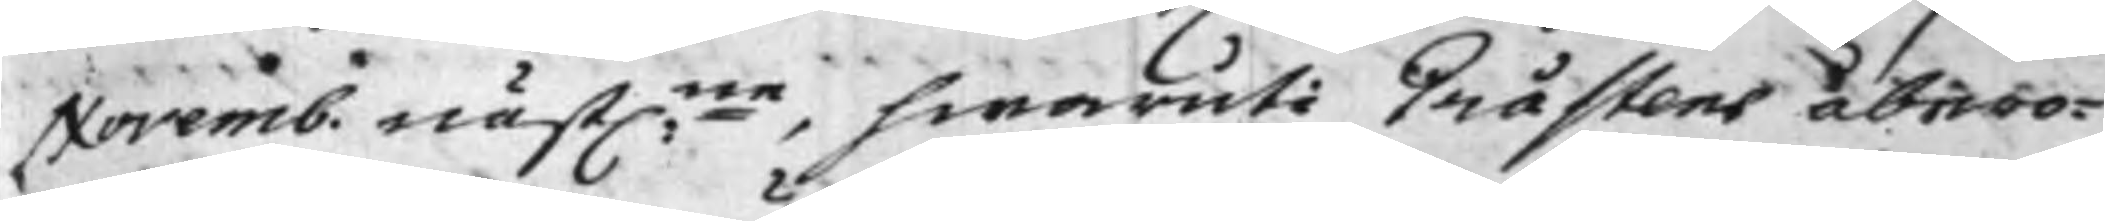Novemb. nästl:ne, hwaruti Gråstens åbero¬
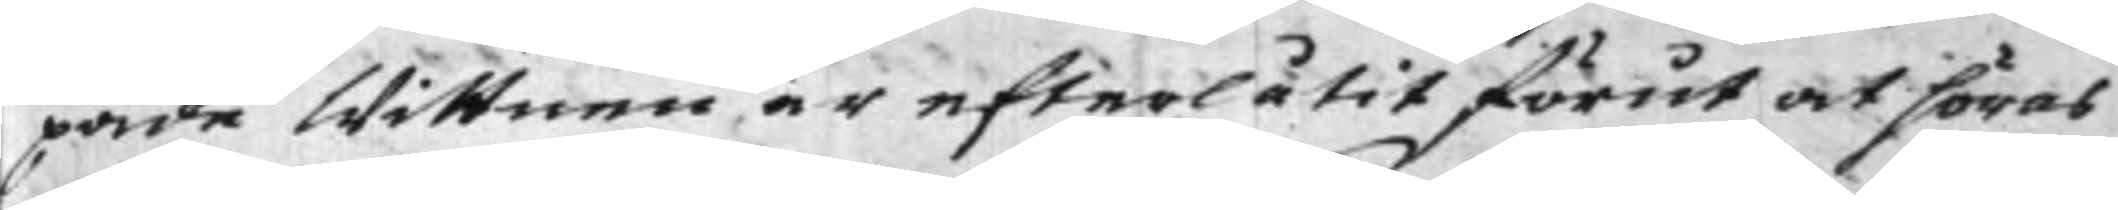pade Wittnen är efterlåtit förut at höras
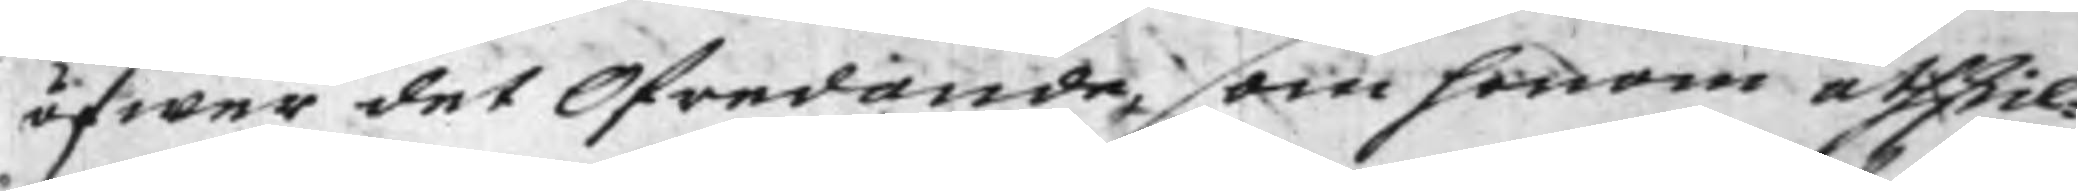öfwer det Ofredande, som honom åtskil¬
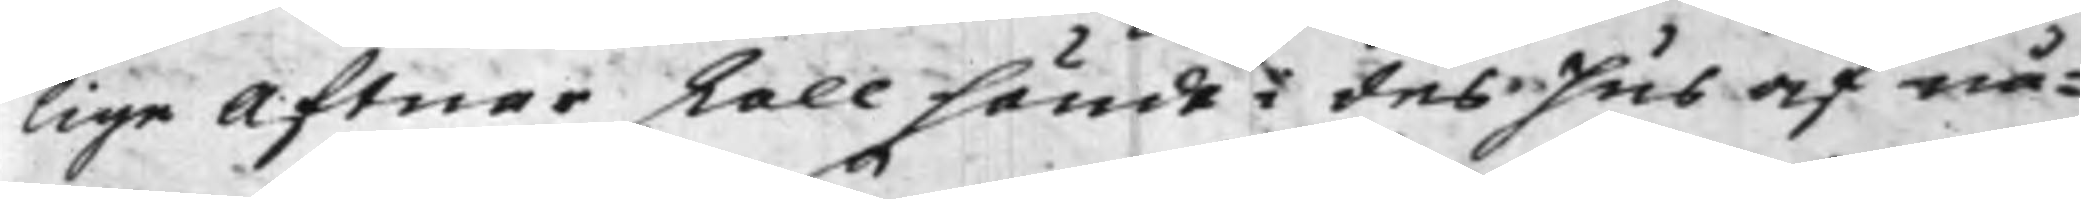lige Aftnar skall händt i des Hus af nå¬
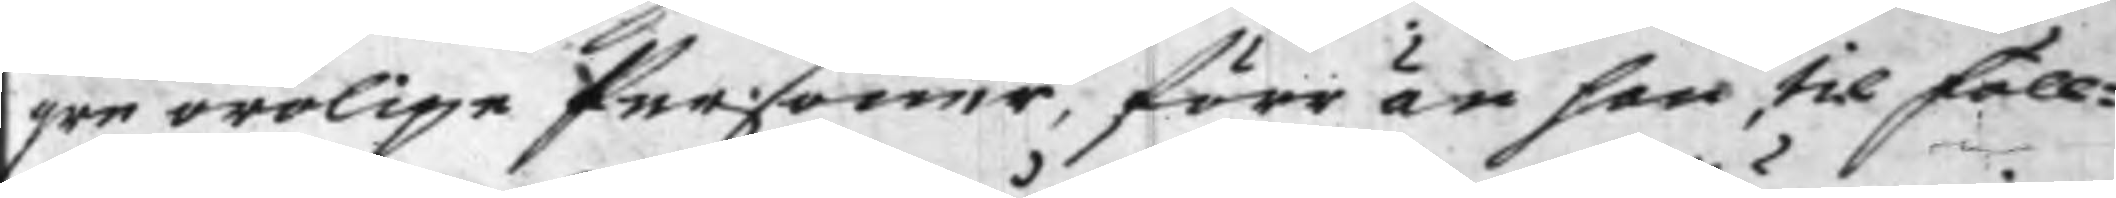gre orolige Personer, förr än han til föll¬
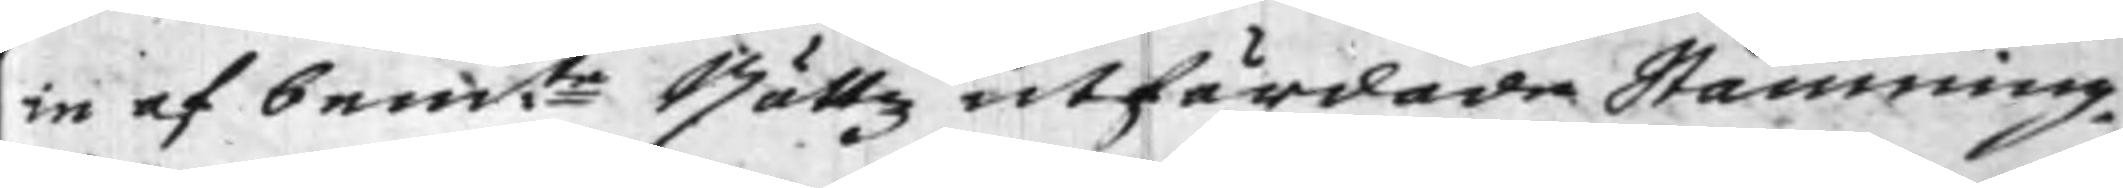ie af bem:te Rättz utfärdade Stämning
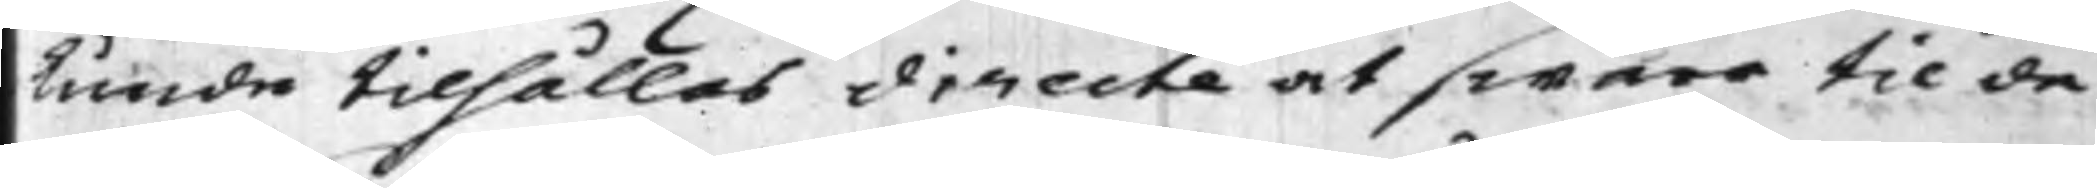kunde tilhållas directe at swara til de
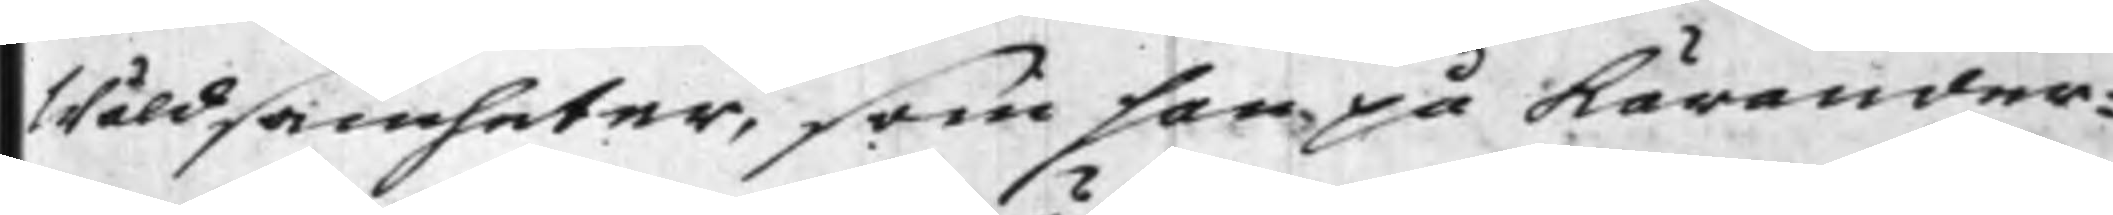Wåldsamheter, som han på Kärander¬
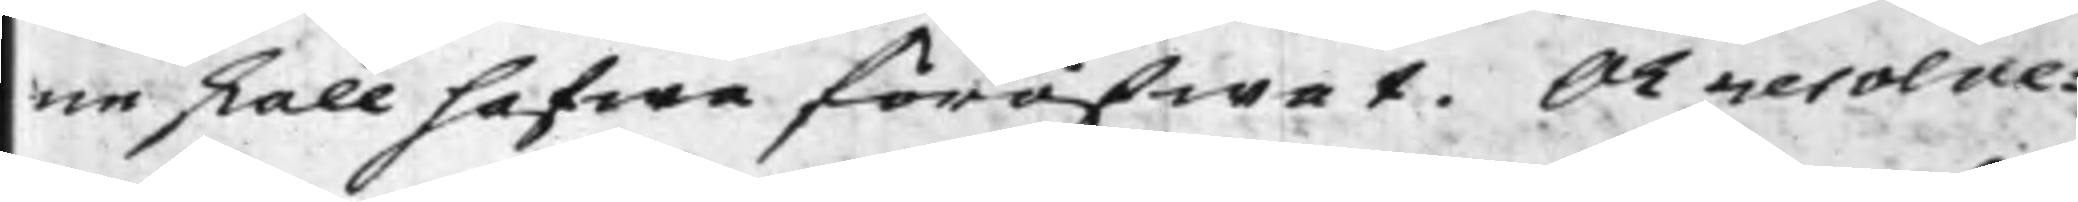ne skall hafwa föröfwat. Och resolve¬
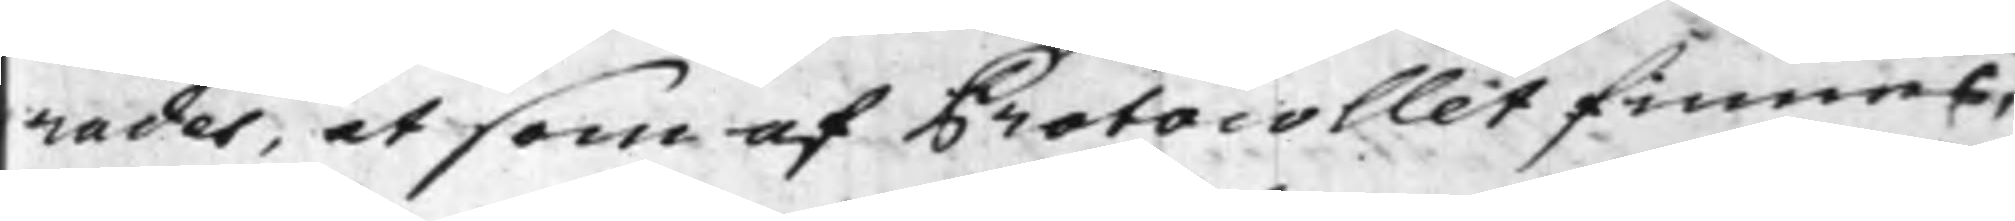rades, at som af Protocollet finnes,
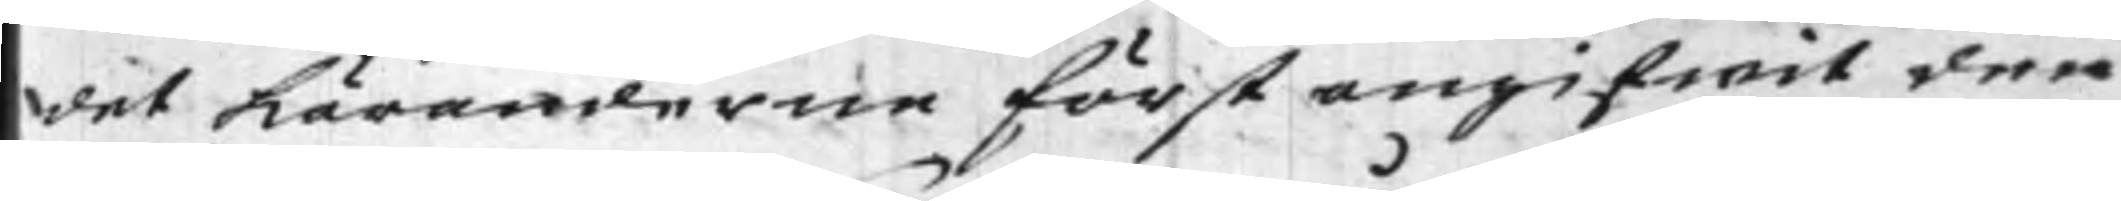det Käranderne först angifwit den
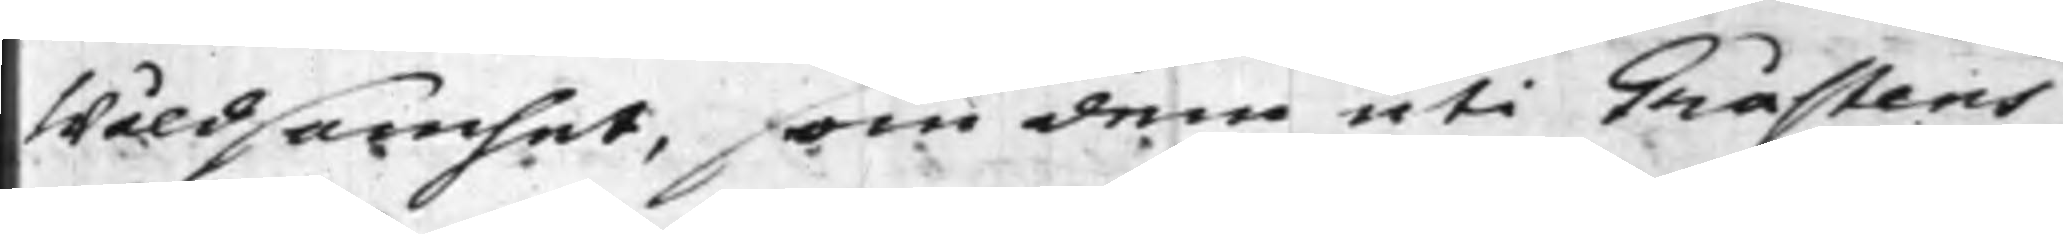Wåldsamhet, som dem uti Gråstens
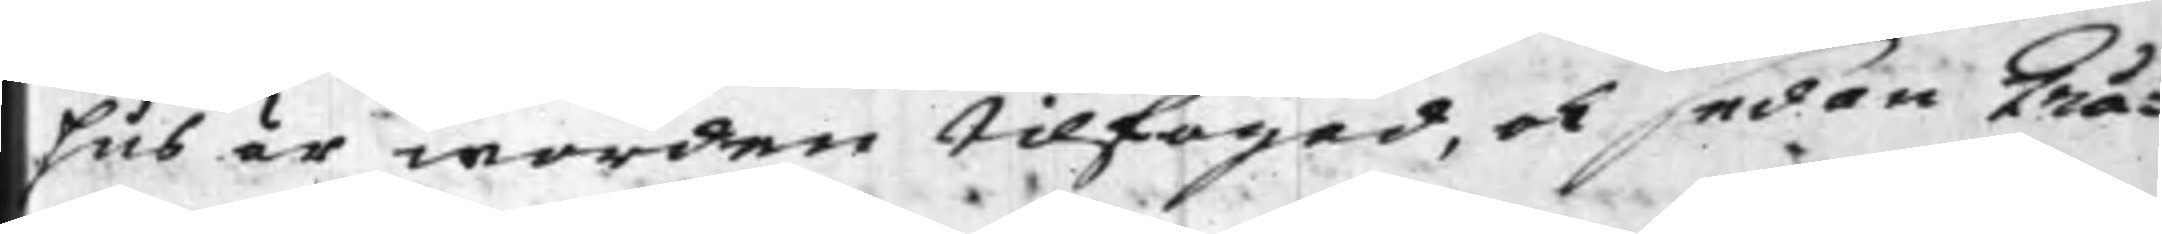Hus är worden tilfogad, och sedan Grå¬
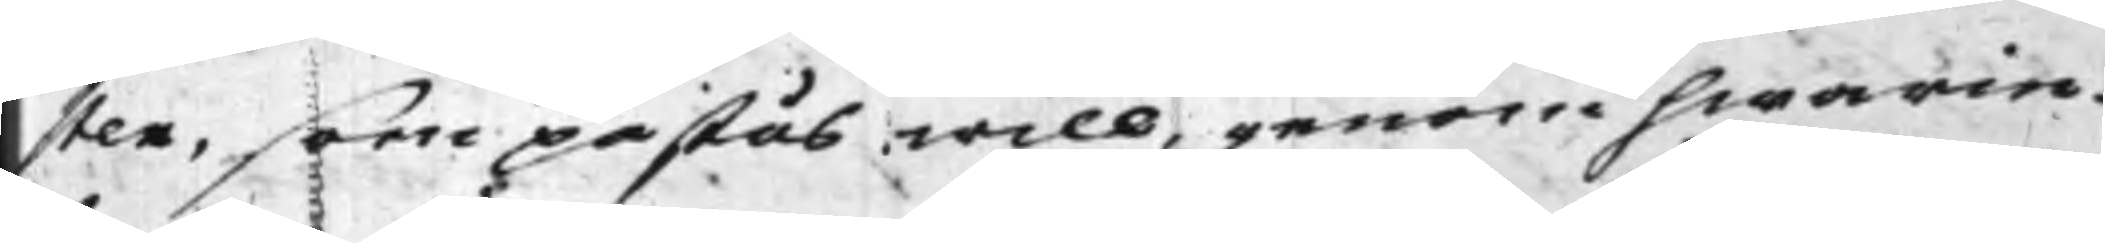sten, som påstås will, genom hwarie¬
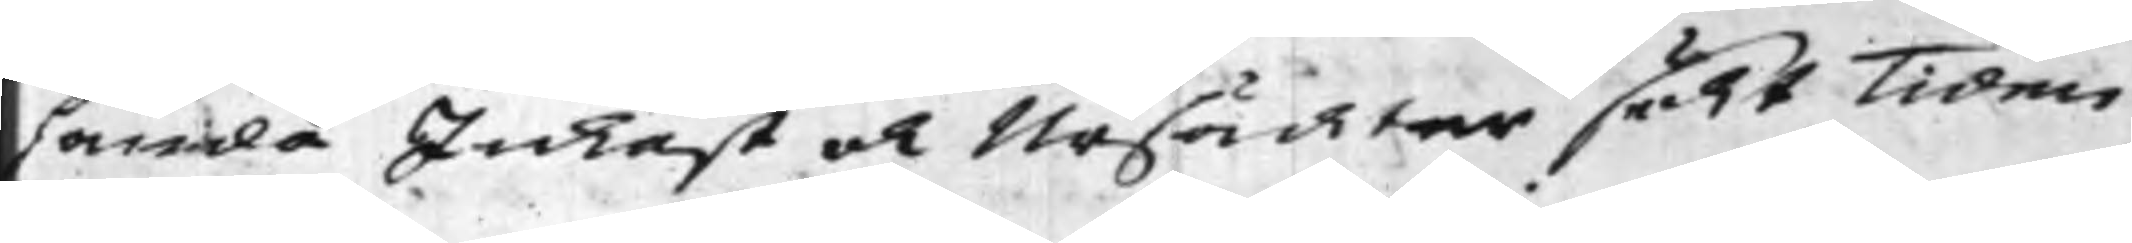handa Inkast och Ursächter sökt Tiden
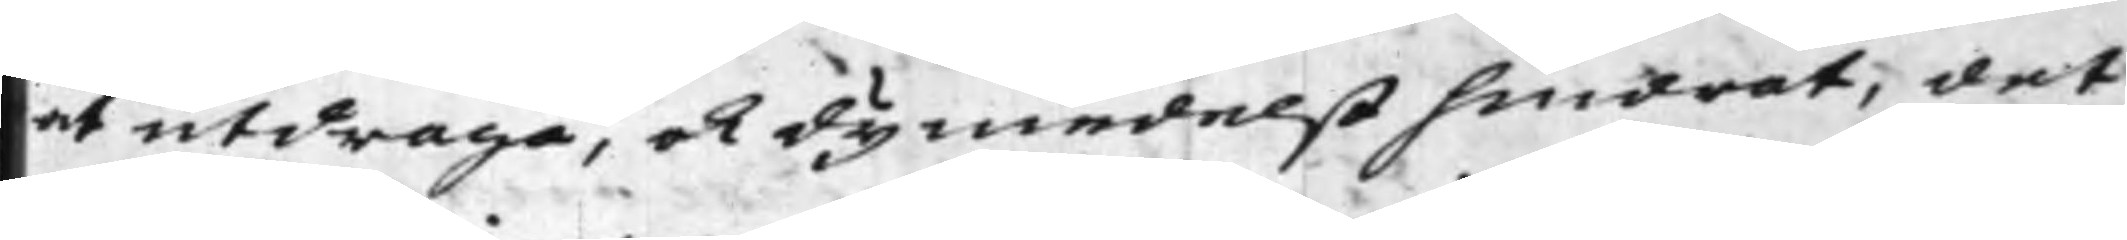utdraga, och dymedelst hindrat, det
